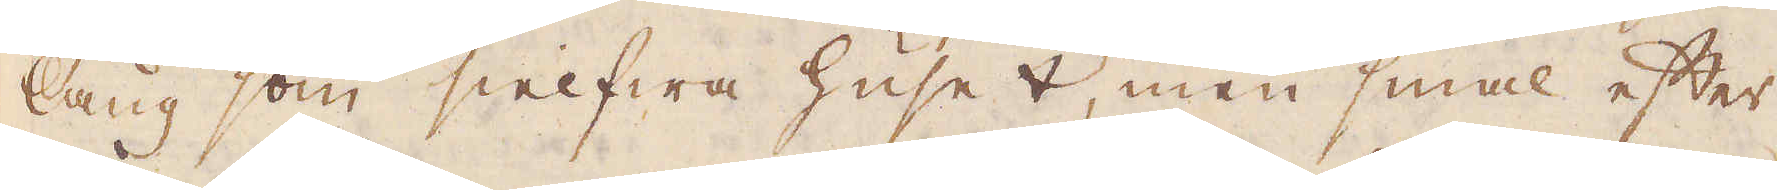lång som sielfwa huset, men smal efter
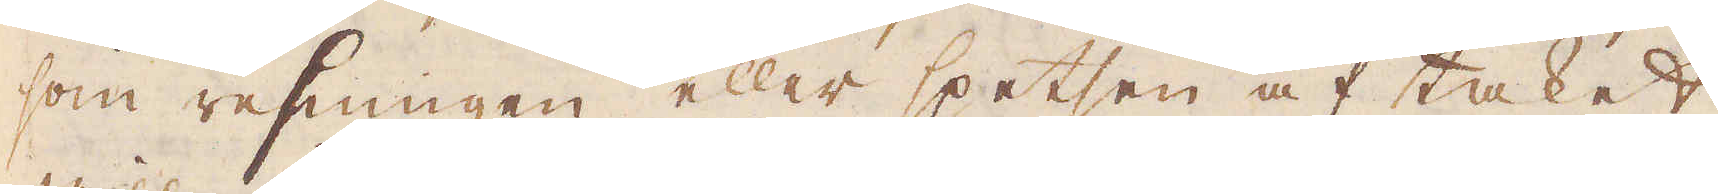som resningen eller spetsen af taket
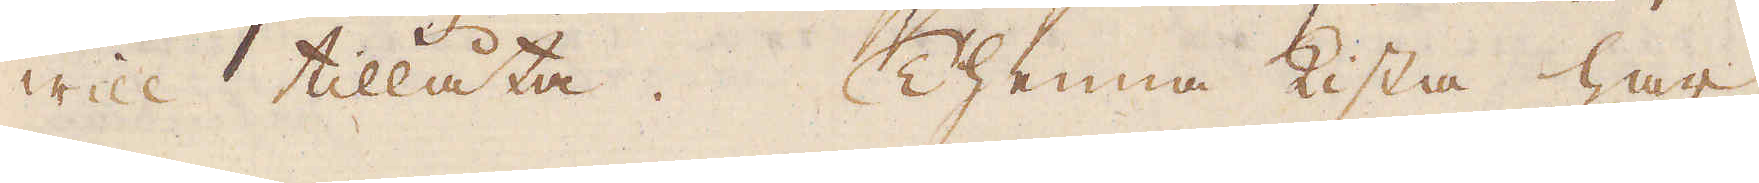will tillåta. Thenna kista har
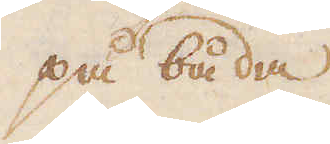på båda
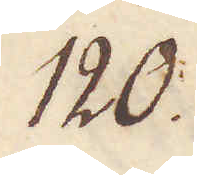120.
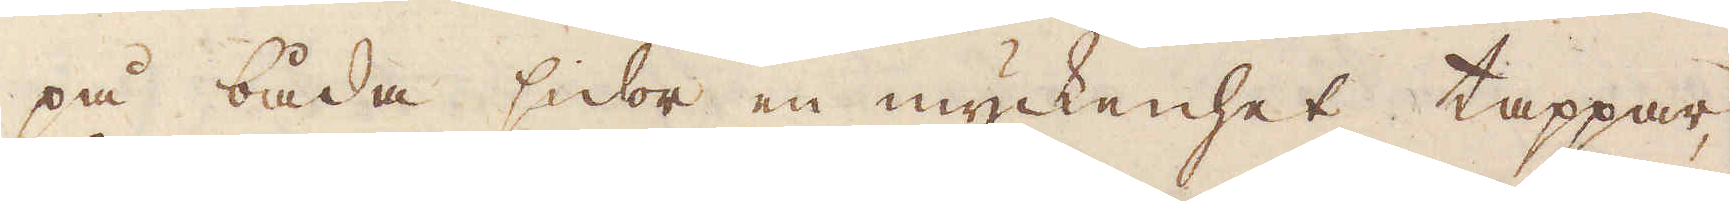på båda sidor en myckenhet tappar,
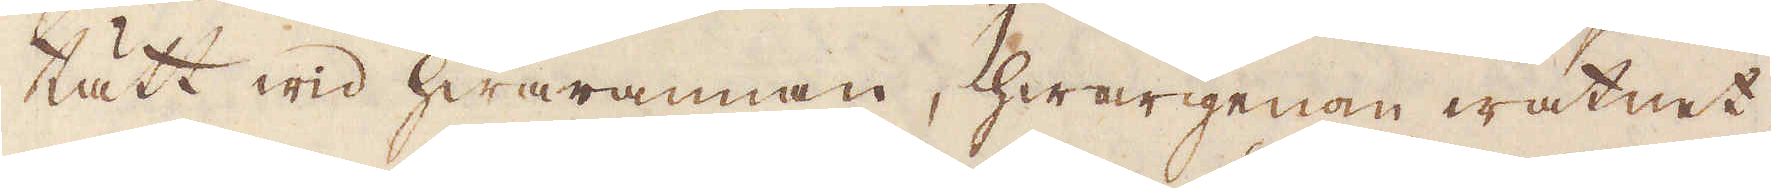tätt wid hwarannan, hwarigenom watnet
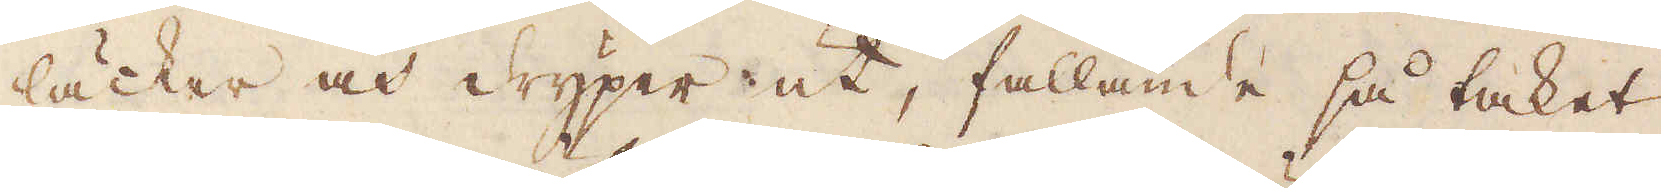läcker och dryper ut, fallande så taket
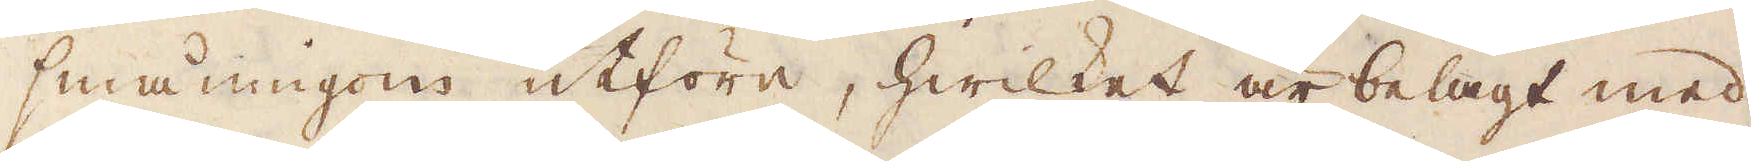småningom utföre, hwilket är belagt med
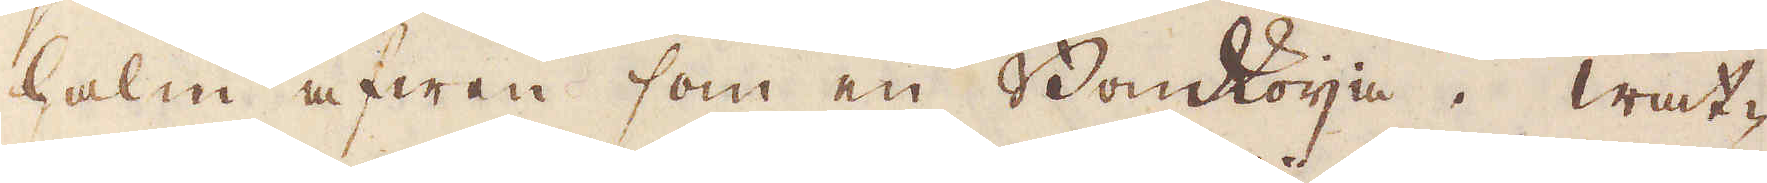halm afwen som en Bondkoija. Wat-
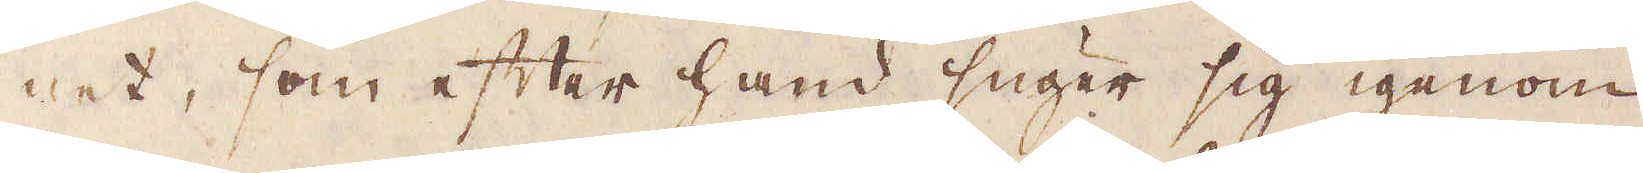net, som efter hand suger sig igenom
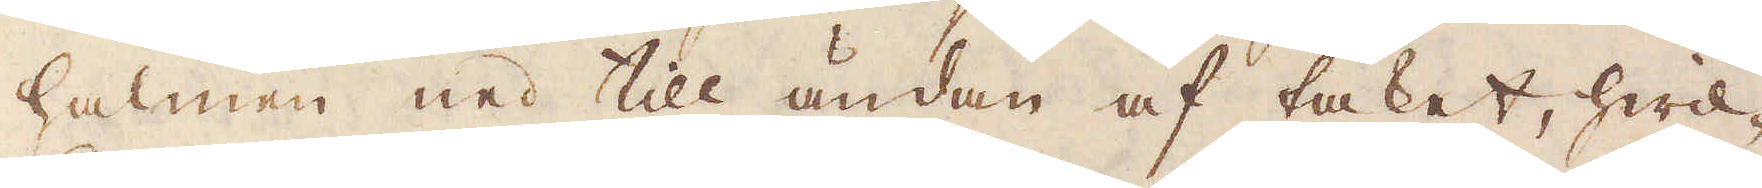halmen ned till ändan af taket, hwil-
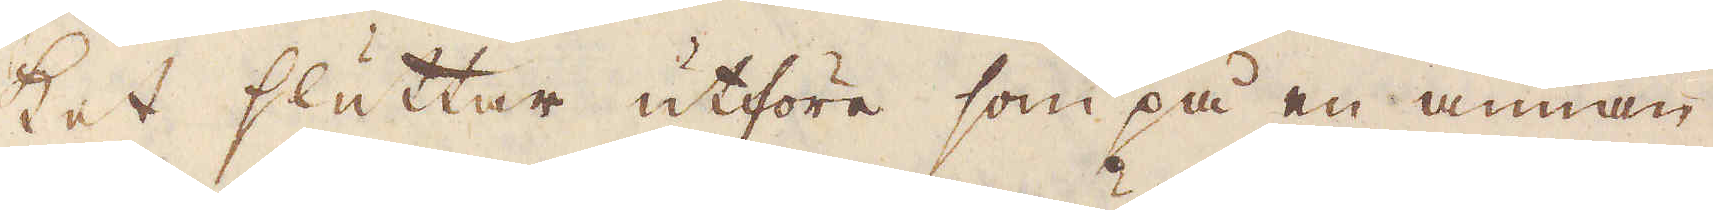ket sluttar utföre som på en annan
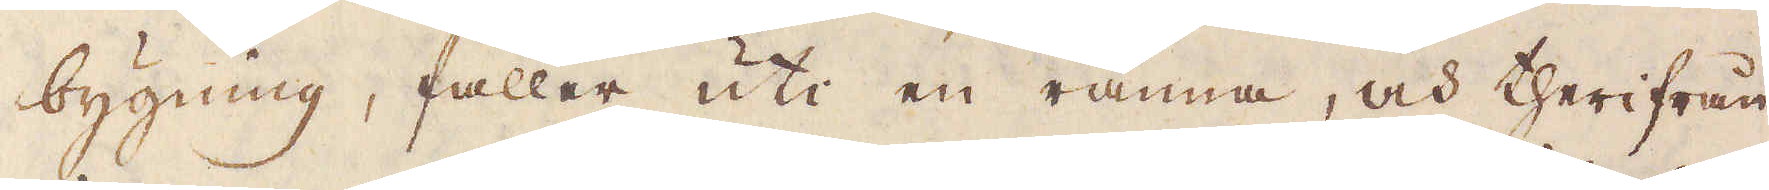bygning, faller uti en ränna, och therifrån
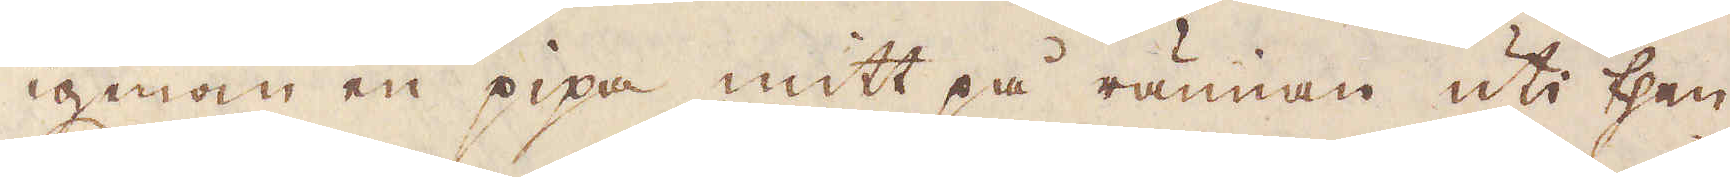igenom en pipa mitt på rännan uti then
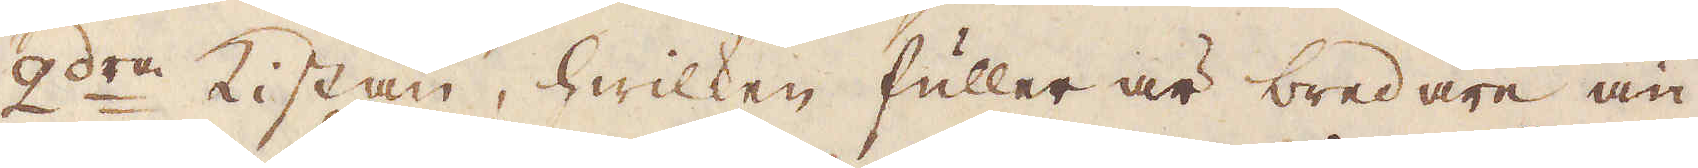2:dra kistan, hwilken fuller är bredare än
